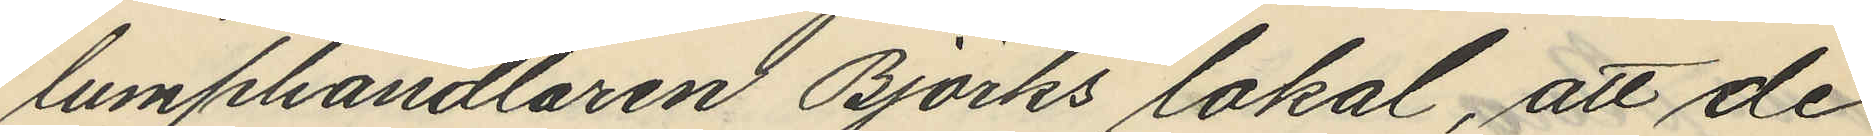lumphandlaren Björks lokal, att de
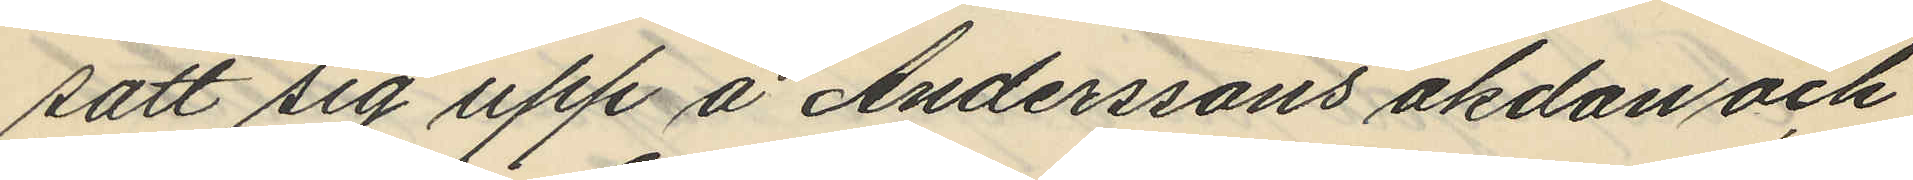satt sig upp å Anderssons åkdon och
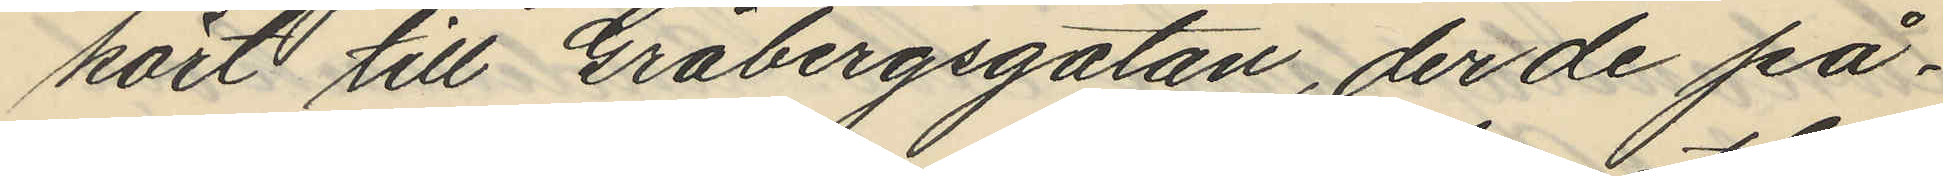kört till Gråbergsgatan, der de på¬
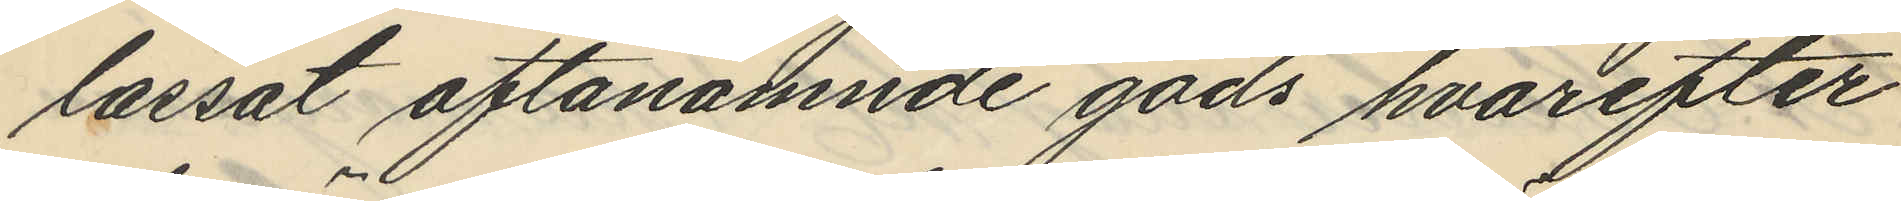lassat oftanämnde gods hvarefter
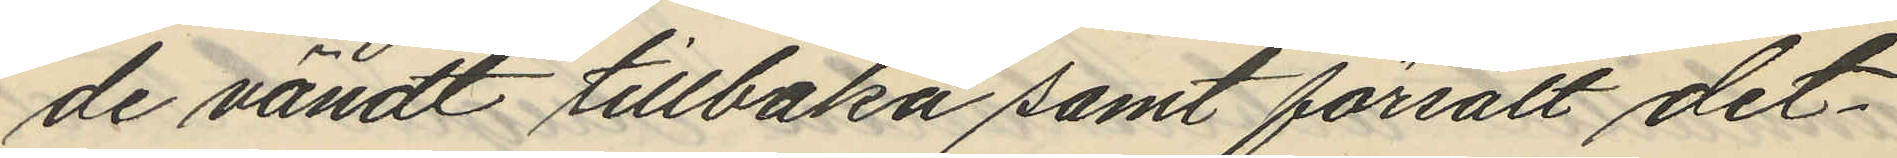de vändt tillbaka samt försålt det¬
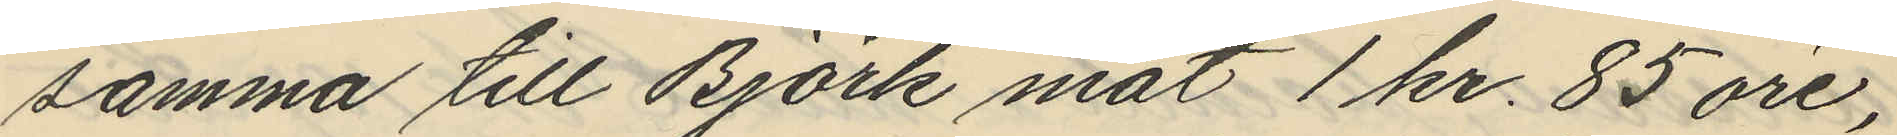samma till Björk mot 1 kr. 85 öre;
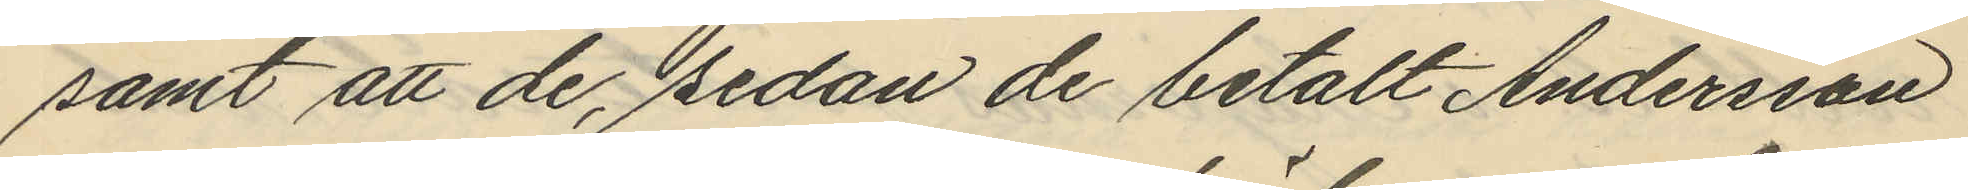samt att de, sedan de betalt Andersson
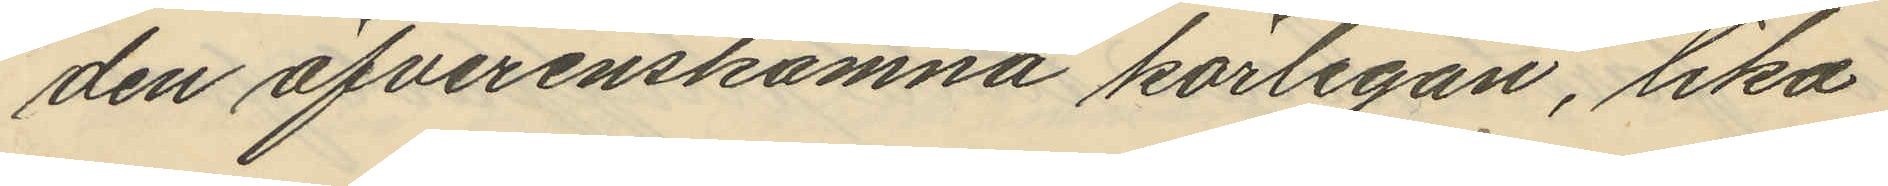den öfverenskomna körlegan, lika
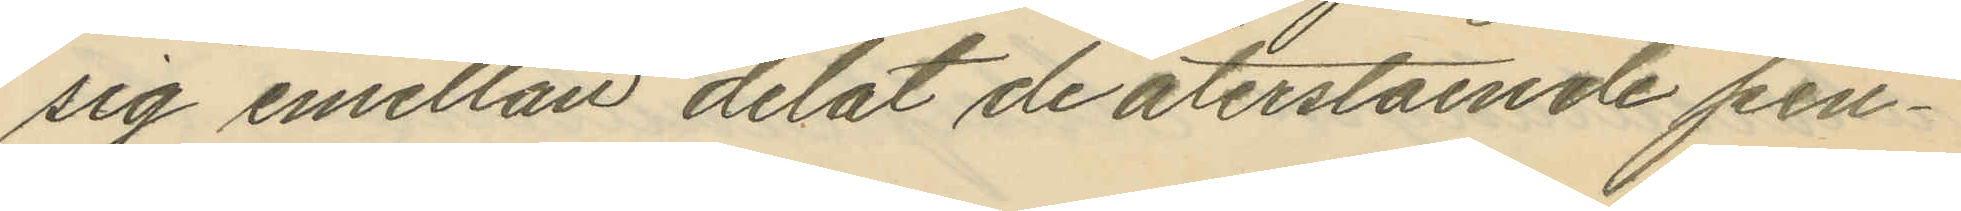sig emellan delat de återstående pen¬
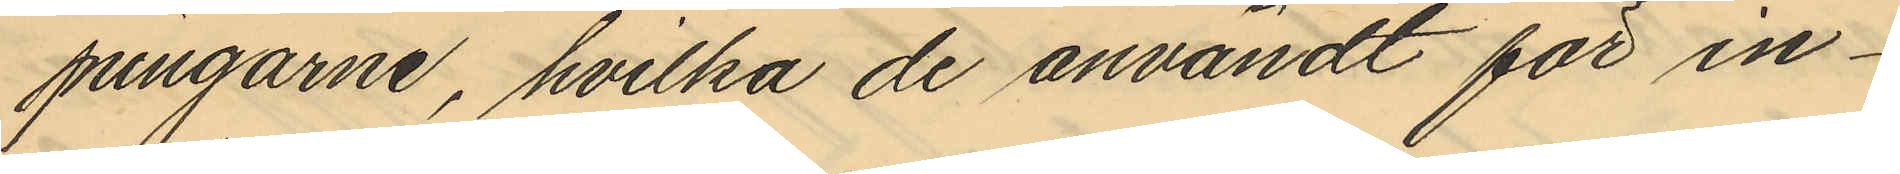pingarne, hvilka de användt för in¬
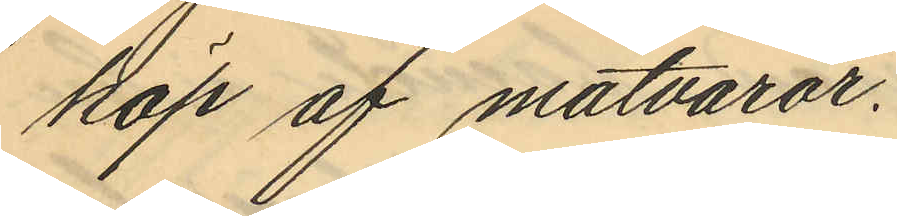köp af matvaror.
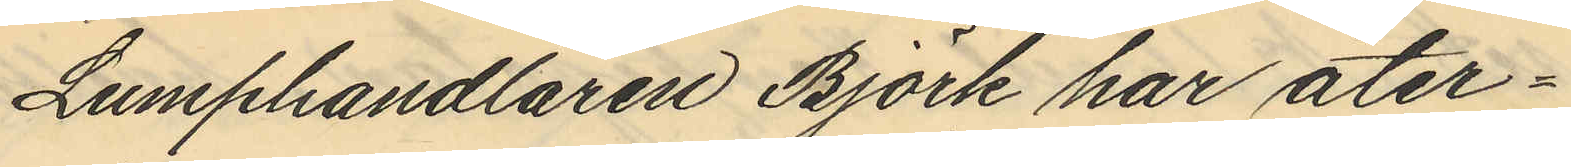Lumphandlaren Björk har åter¬
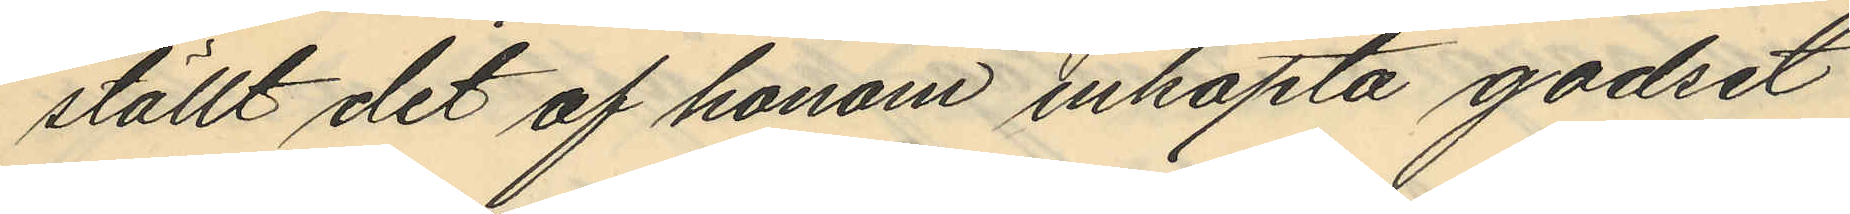ställt det af honom inköpta godset
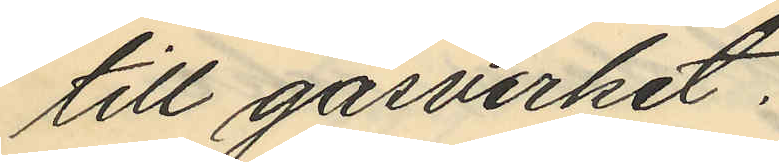till gasverket.
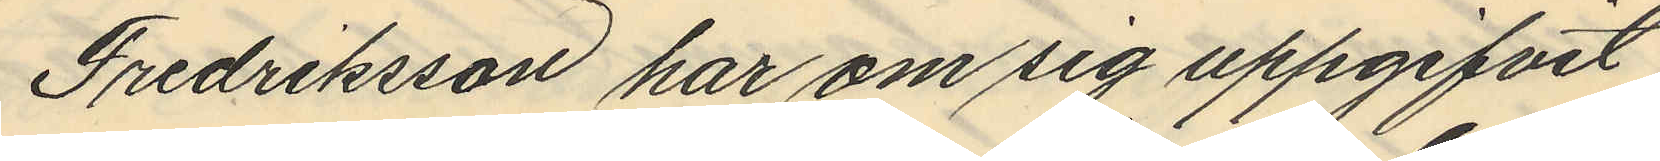Fredriksson har om sig uppgifvit
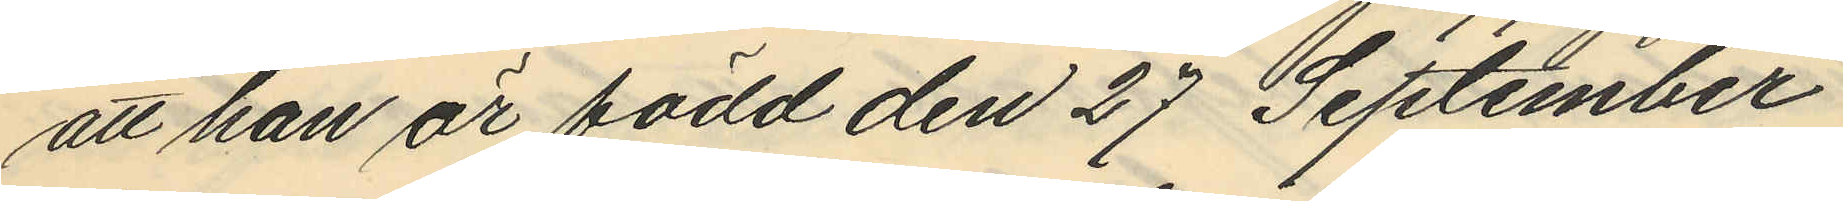att han är född den 27 September
